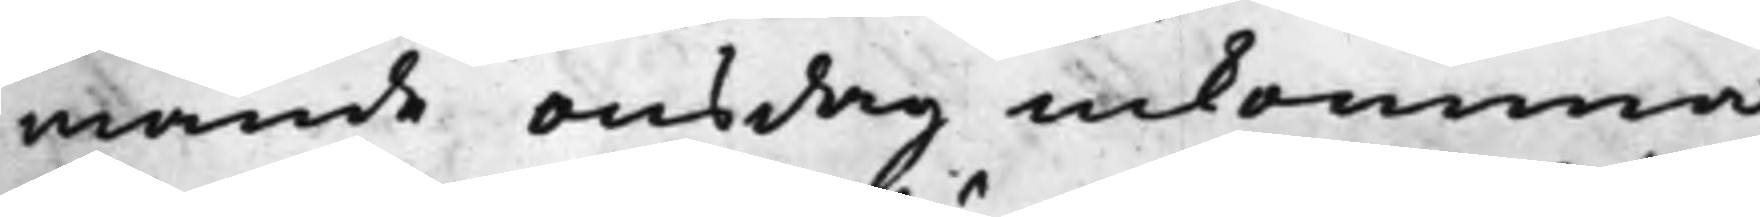mande onsdag inkomma.
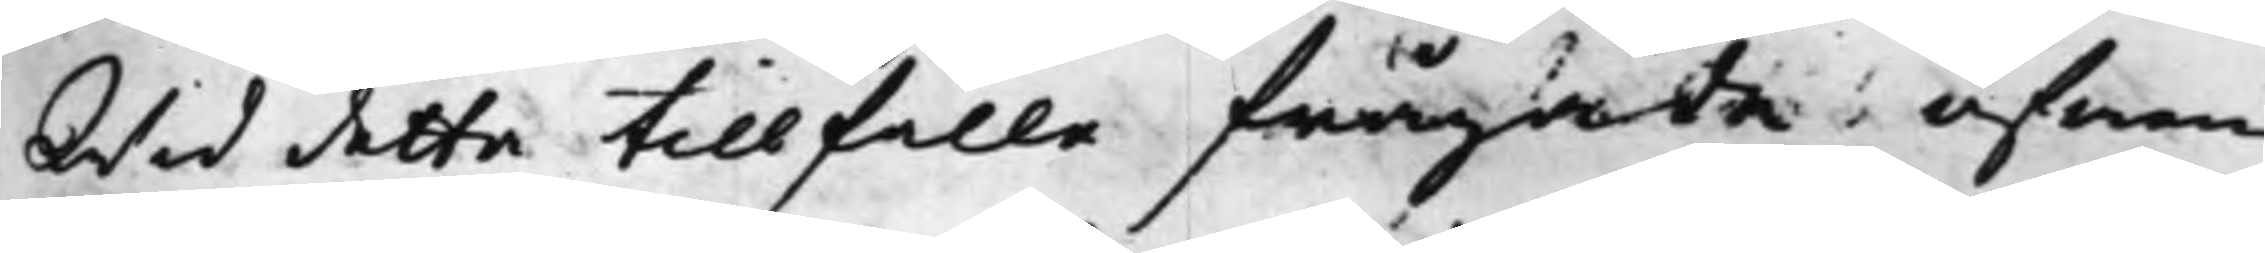Wid detta tillfälle frågade äfwen
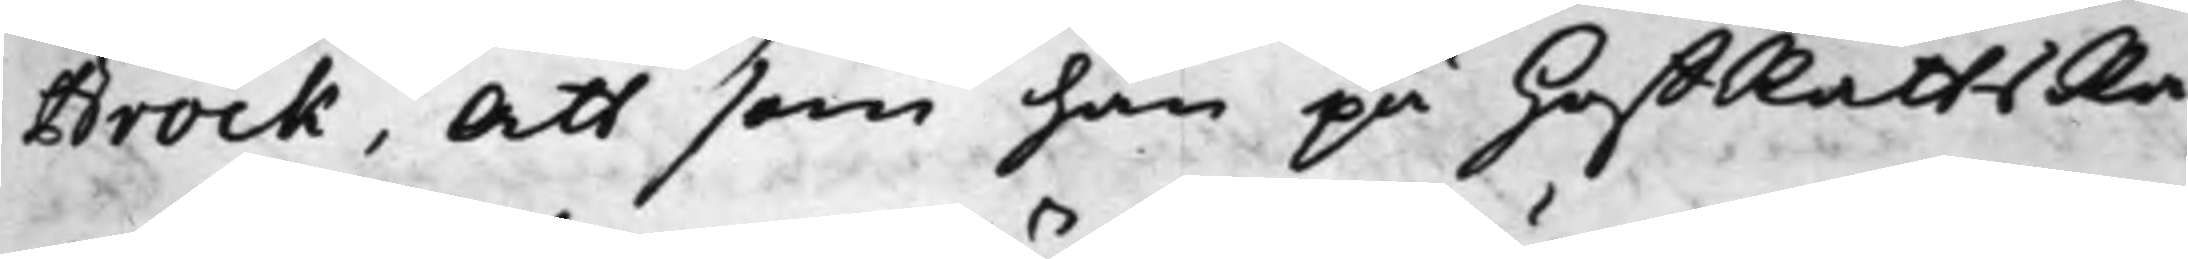Brock, att som han på HoffRättsRå¬
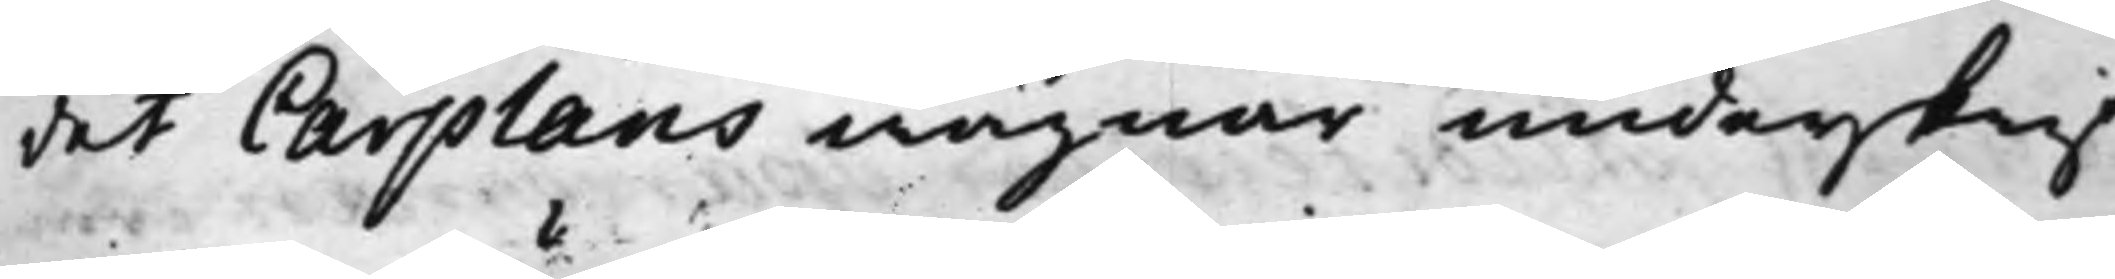det Carplans wägnar underskrif¬
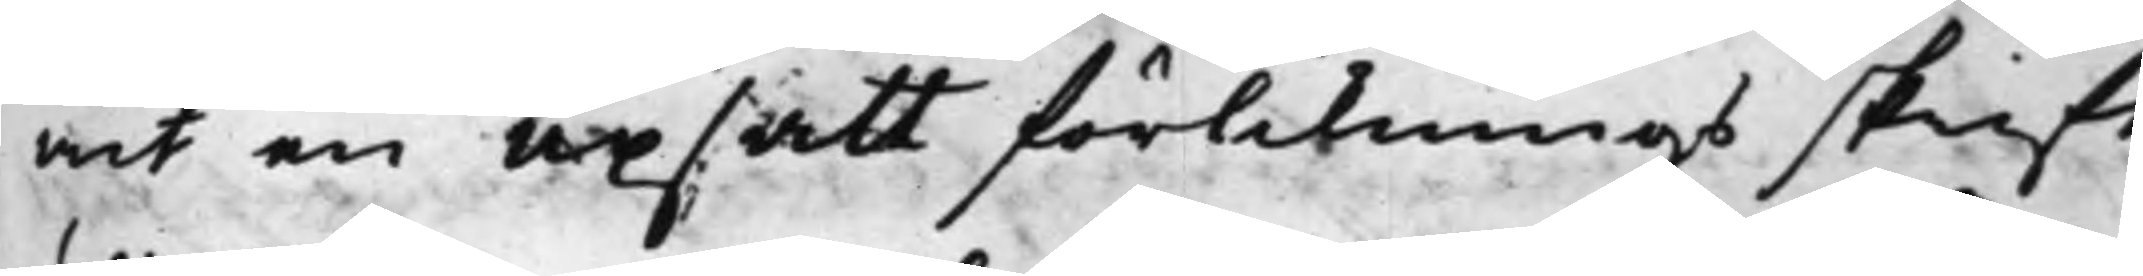wit en upsatt förliknings skrift
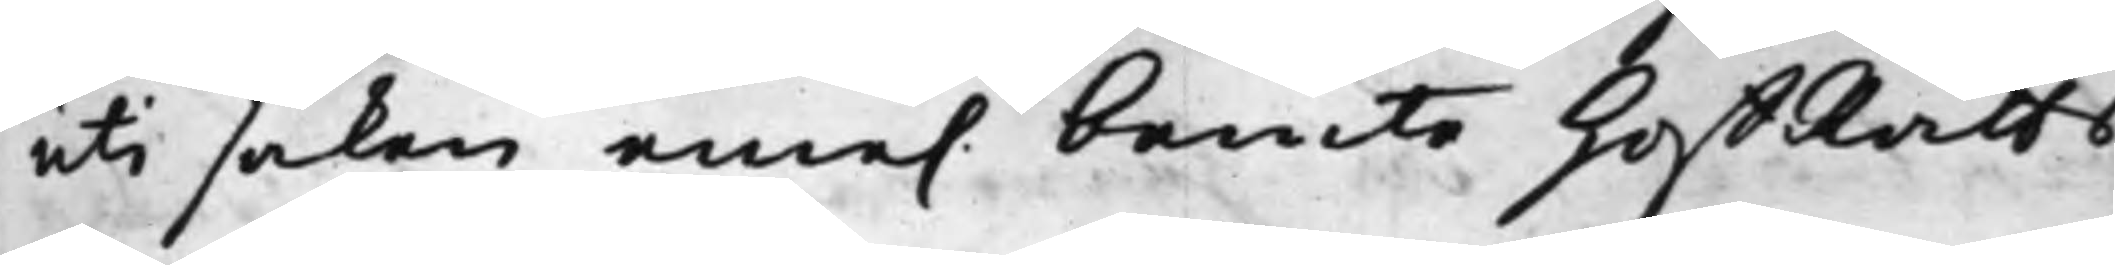uti saken eme. bemte HoffRätts¬
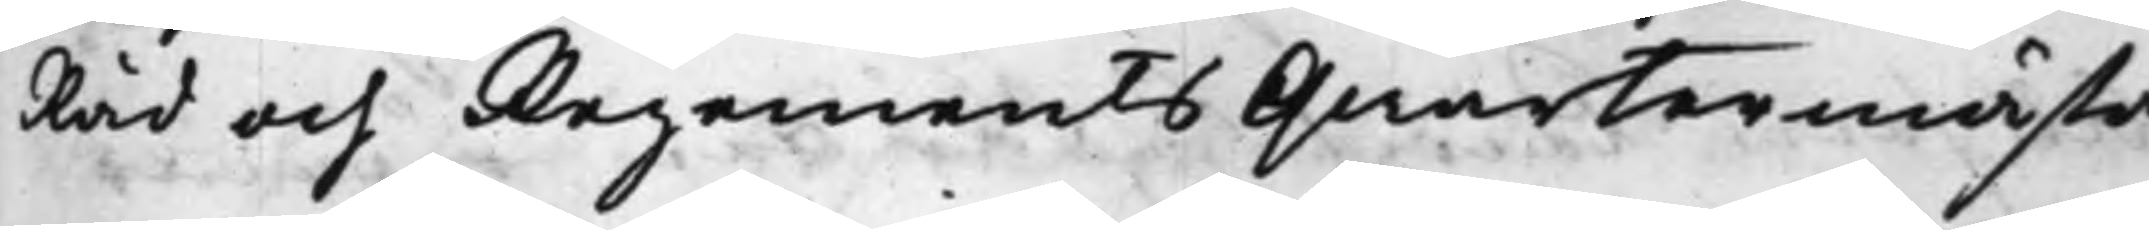Råd och Regements Qwartermästa¬
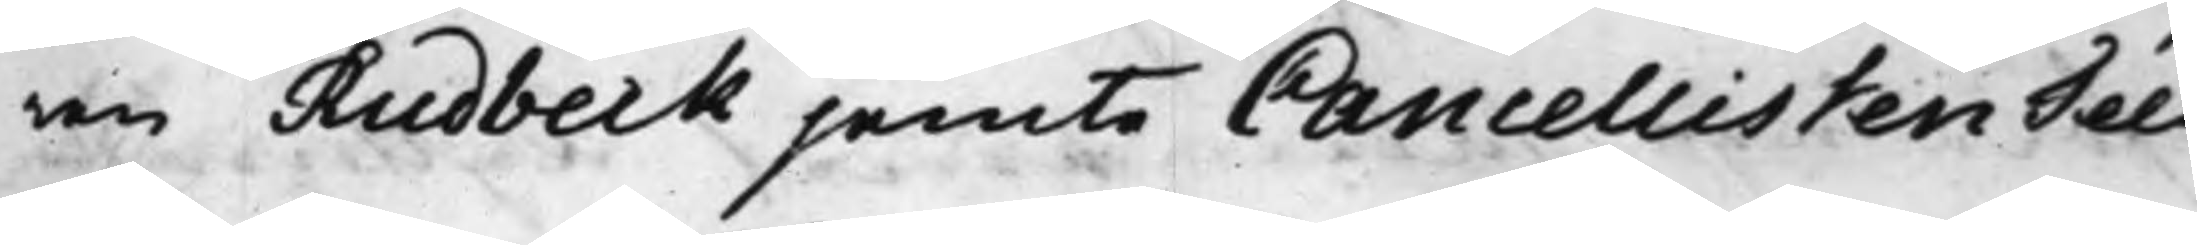ren Rudbeck jemte Cancellisten Téet;
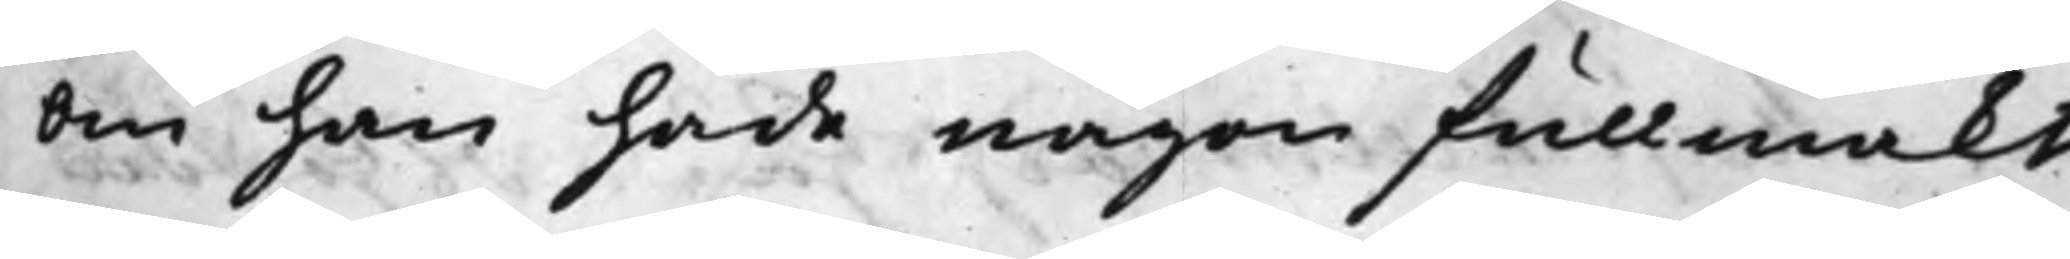om han hade någon fullmakt
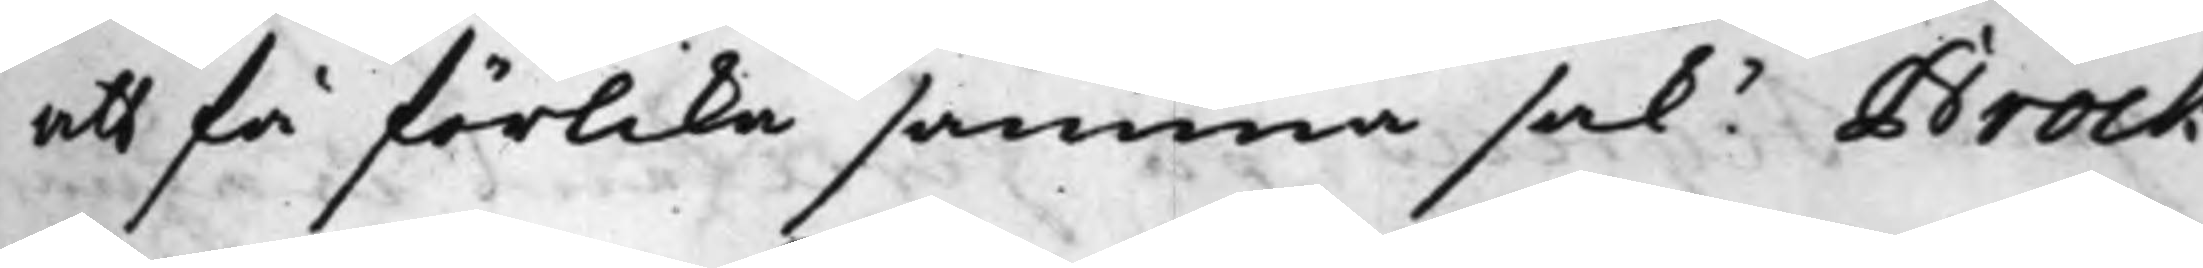att få förlika samma sak? Brock
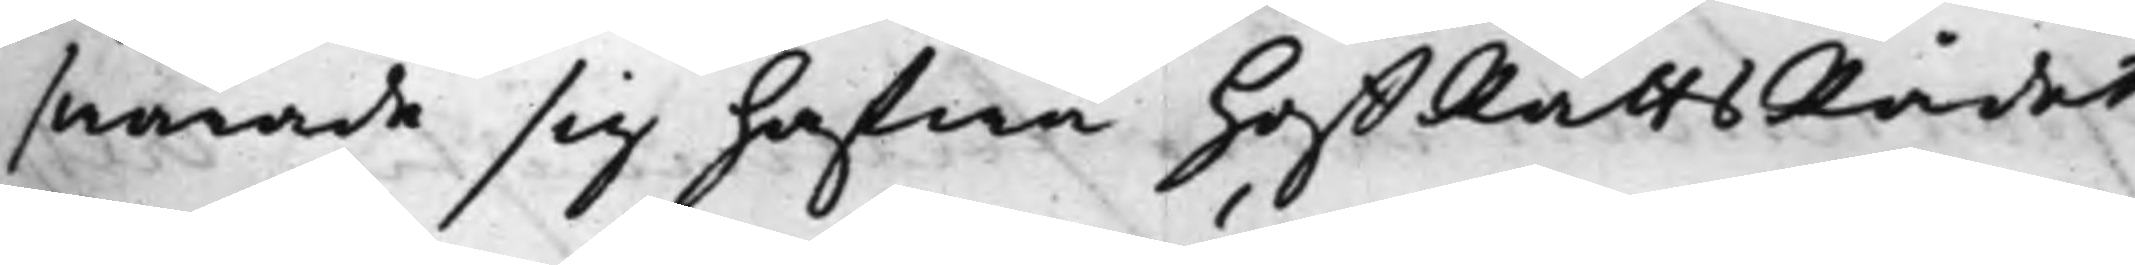swarade sig hafwa HoffRättsRådet
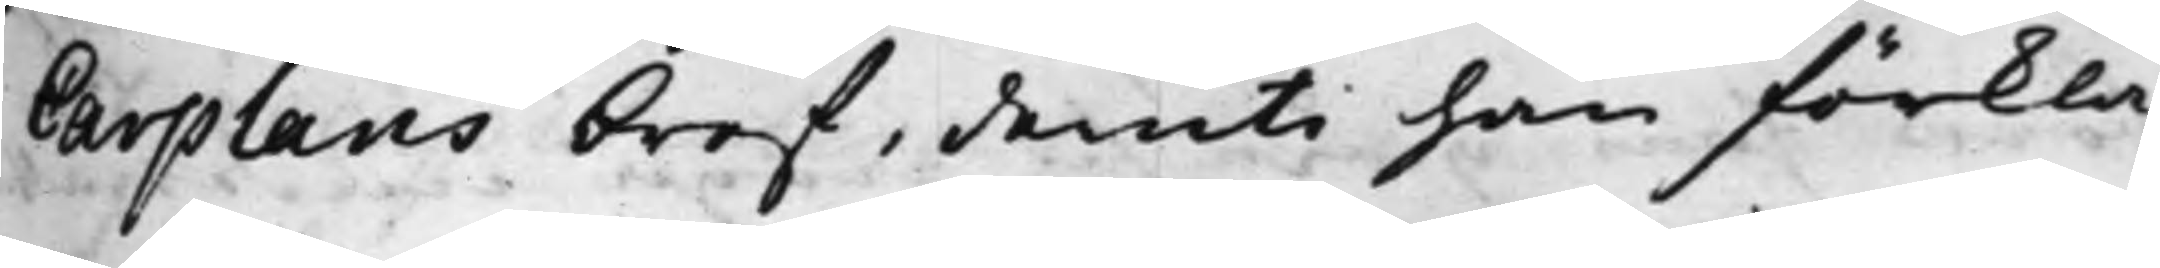Carplans bref, deruti han förkla¬
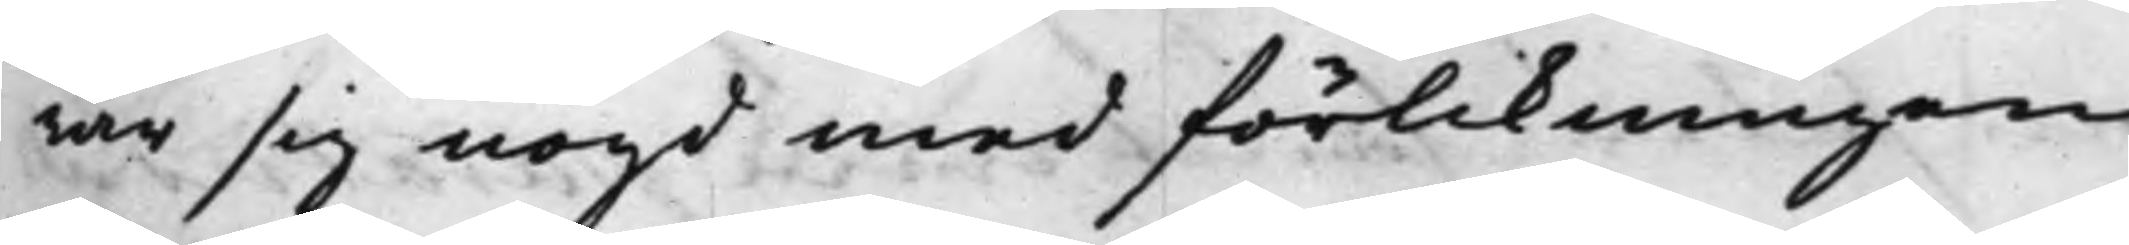rar sig nögd med förlikningen,
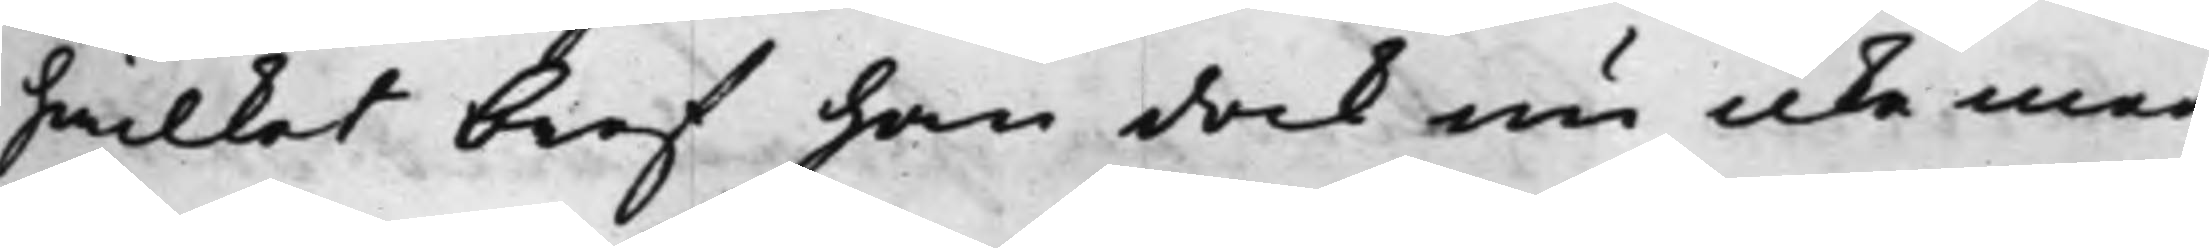hwilket bref han dock nu icke med
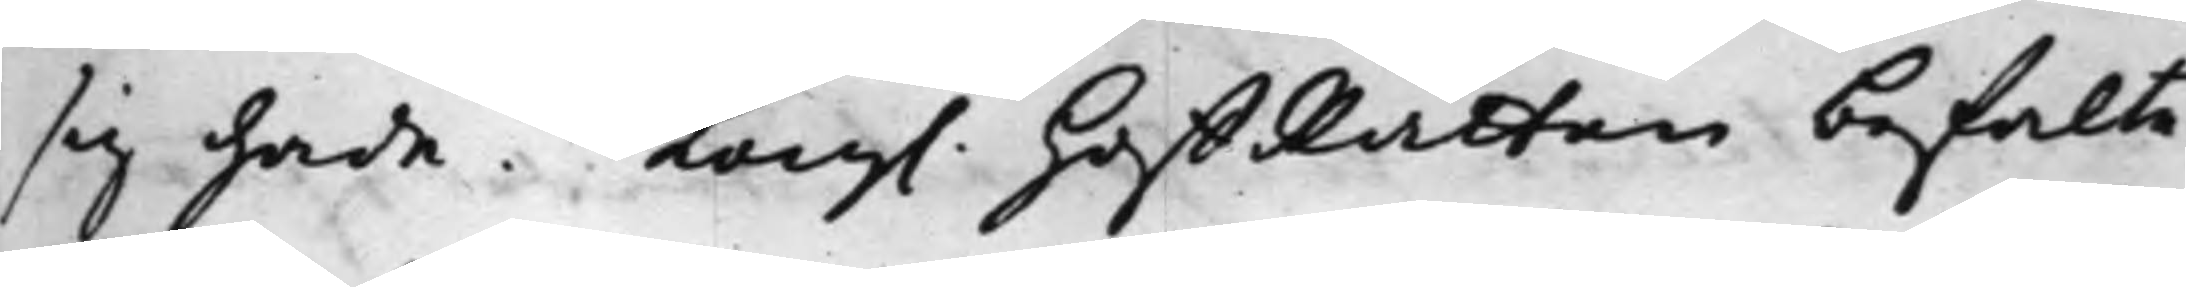sig hade. Kong. HoffRätten befalte
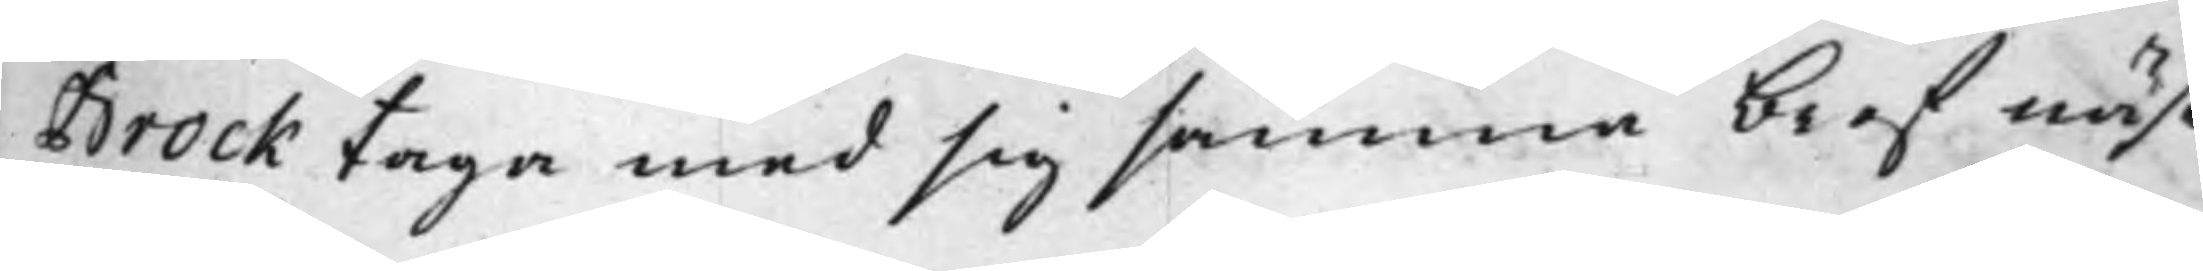Brock taga med sig samma bref näst¬
